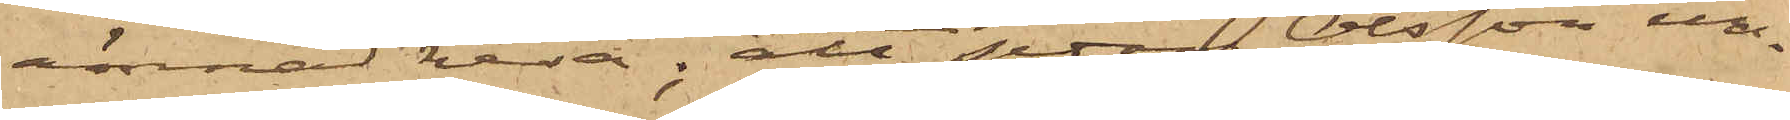ämnad resa; att sedan Olsson un¬
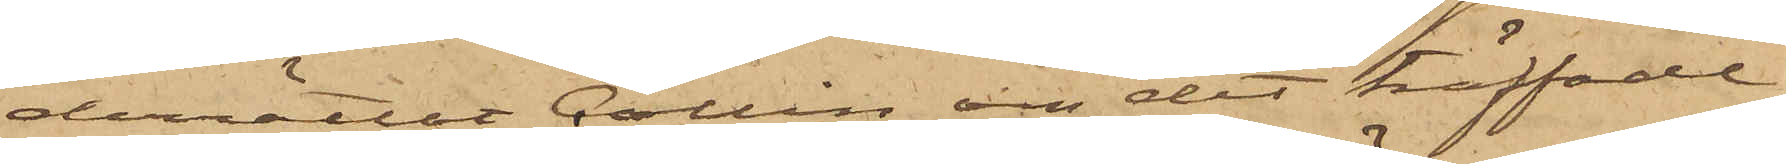derrättat Collin om det träffade
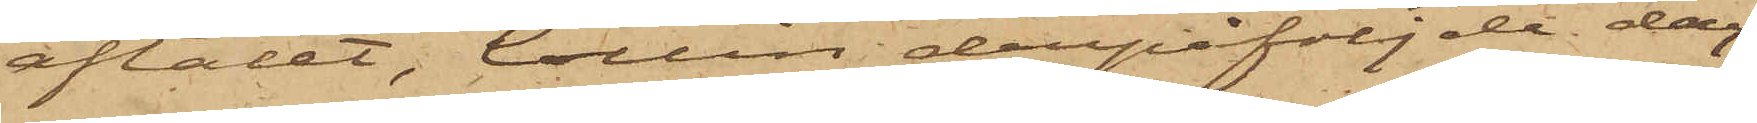aftalet, Collin derpåföljde dag
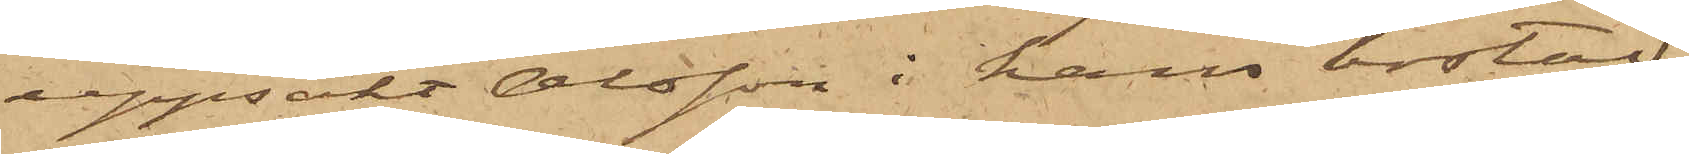uppsökt Olsson i hans bostad
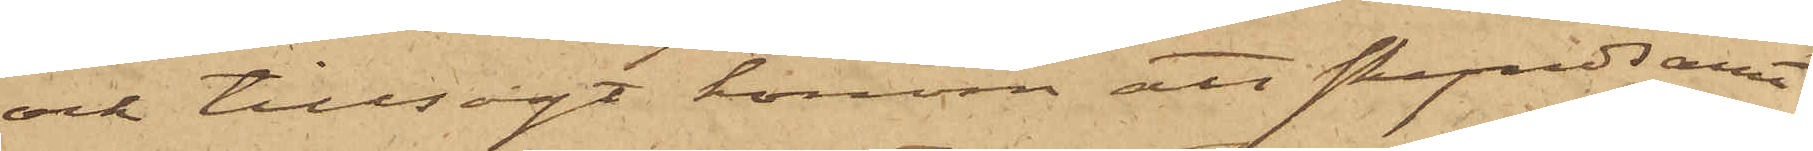och tillsagt honom att skyndsamt
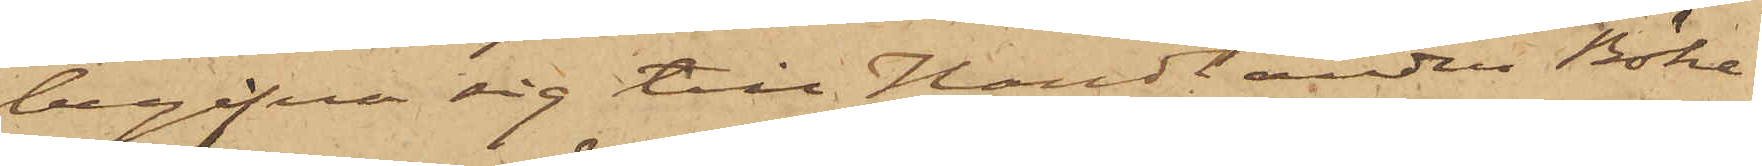begifna sig till Handlande Böke¬
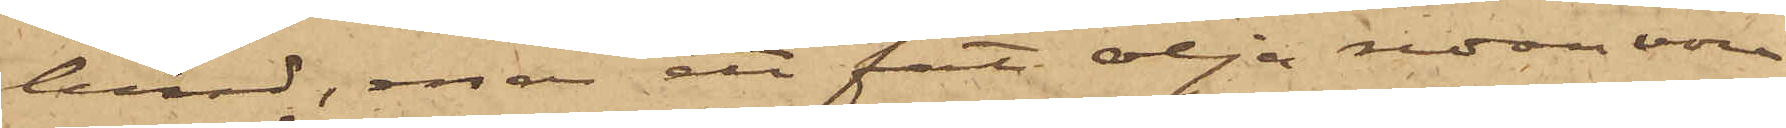lund, enär ett fat olja redan vore
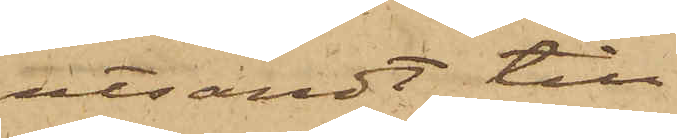utsändt till
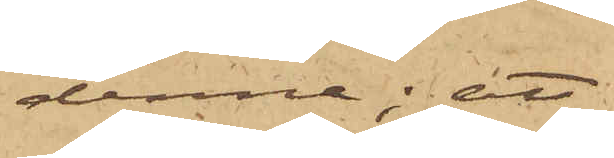denne; att
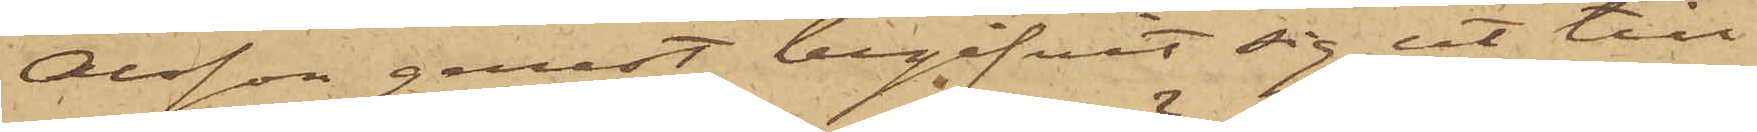Olsson genast begifvit sig ut till
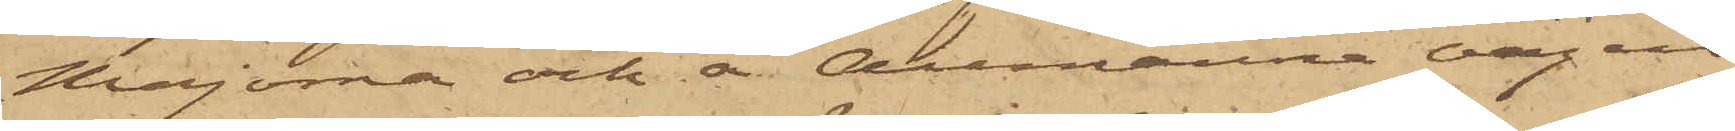Majorna och å Allmänna vägen
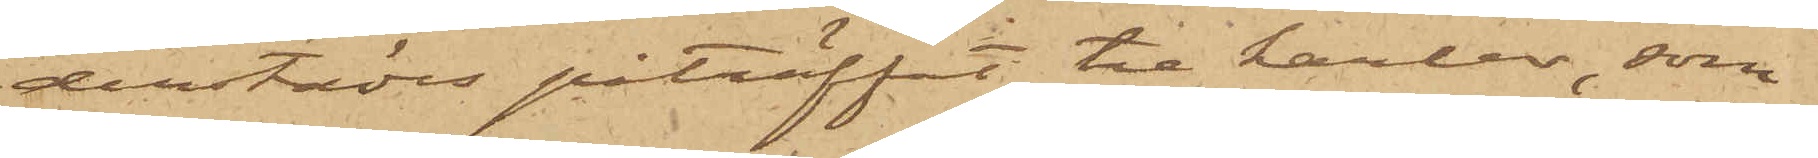derstädes påträffat tre karlar, som
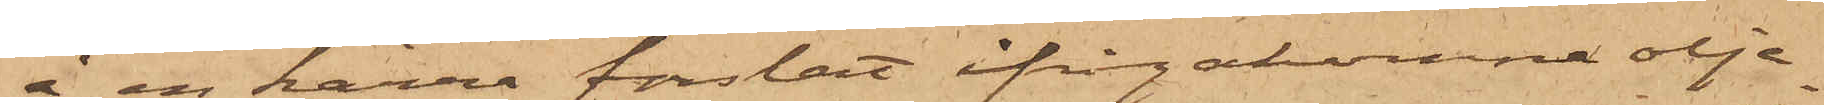å en kärra forslat ifrågakomne olje¬
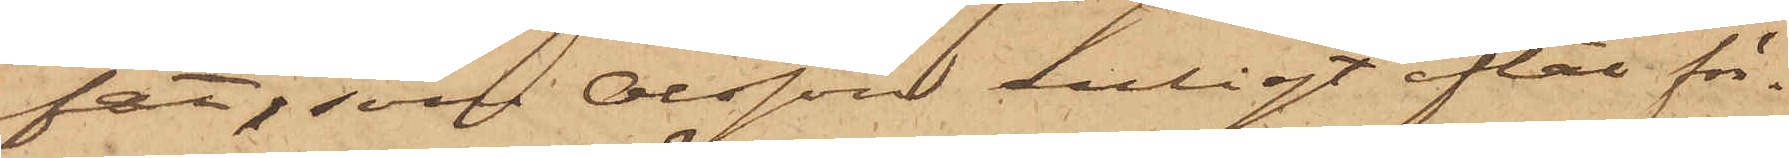fat, som Olsson enligt aftal för¬
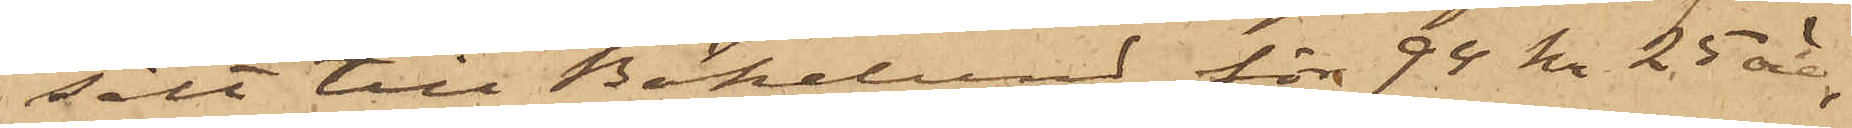sålt till Bökelund för 94 kr. 25 öre,
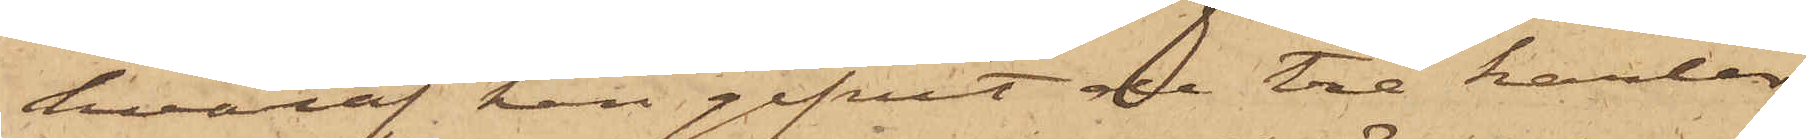hvaraf han gifvit de tre karlar
